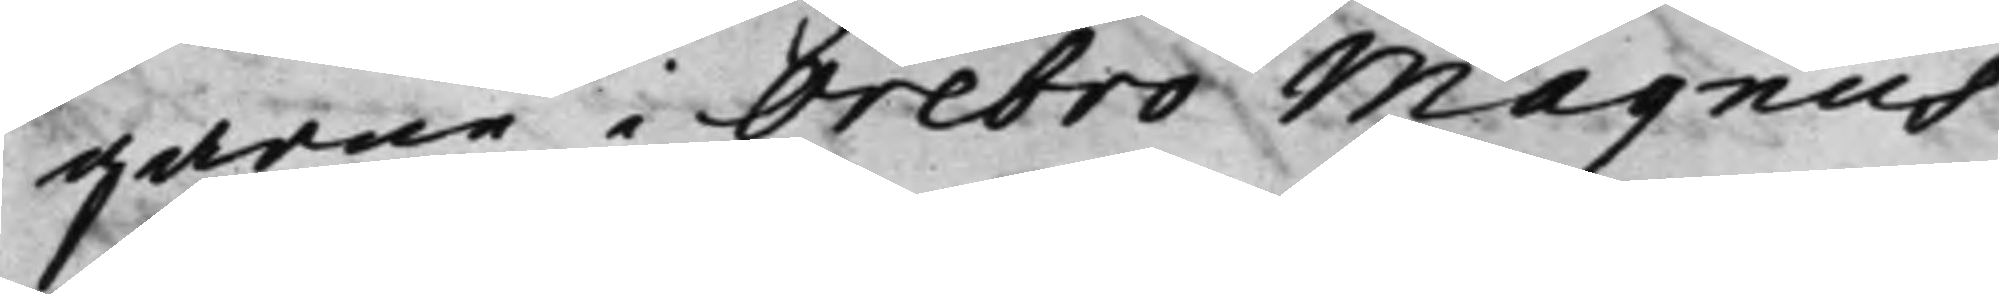garne i Örebro Magnus
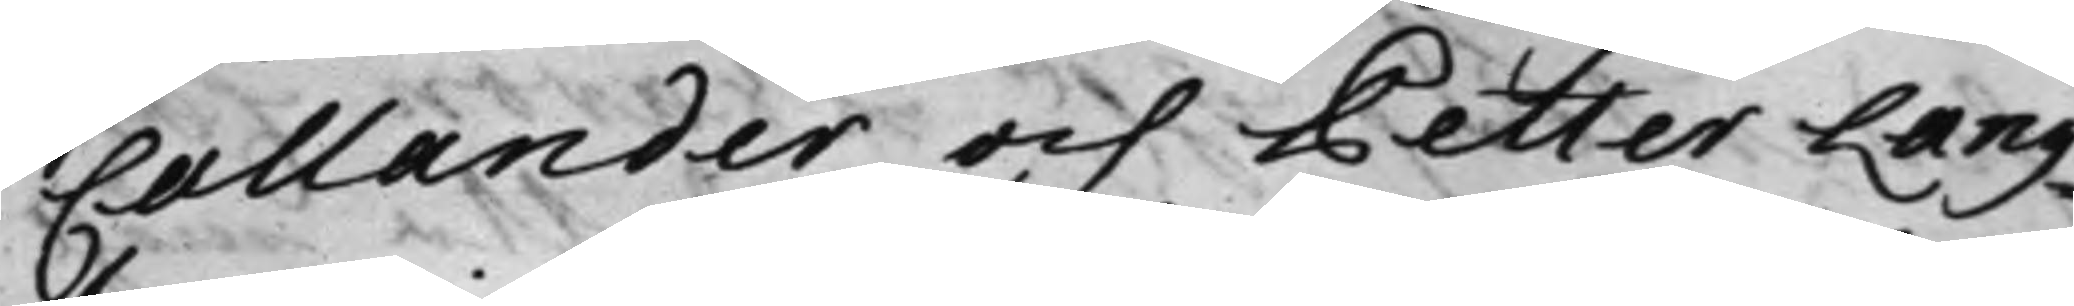Callander och Petter Lang¬
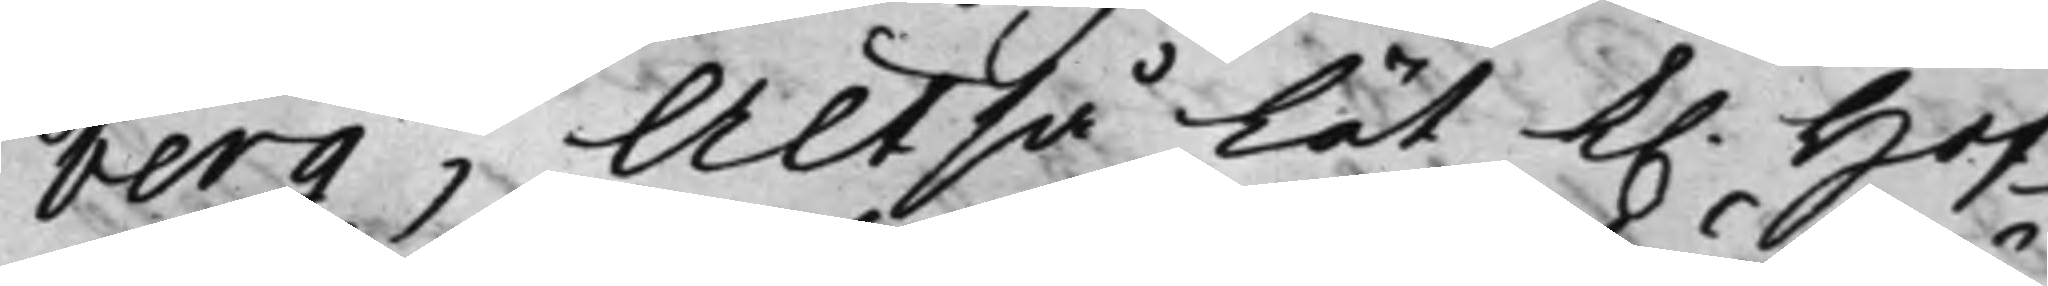berg; Altså lät K. Hof¬
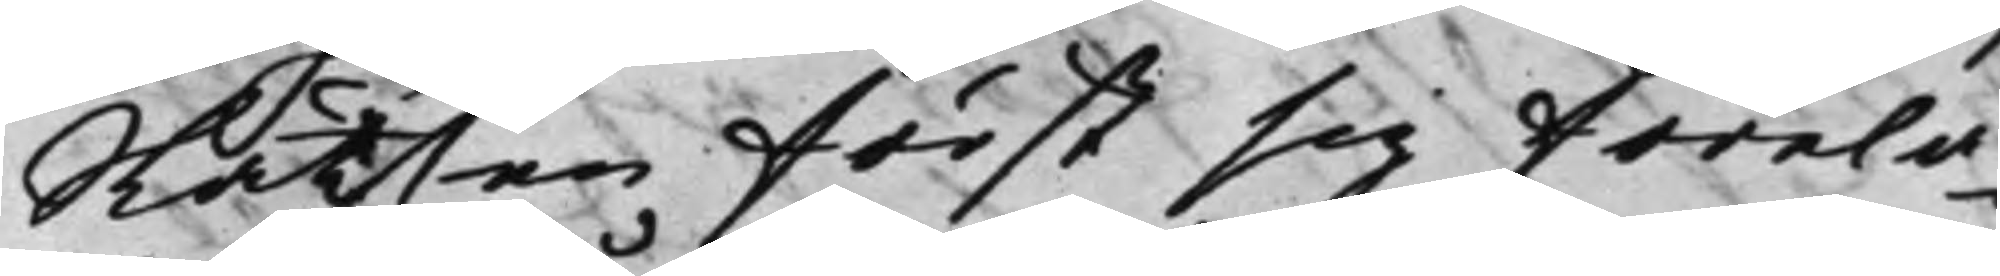Rätten först sig förelä¬
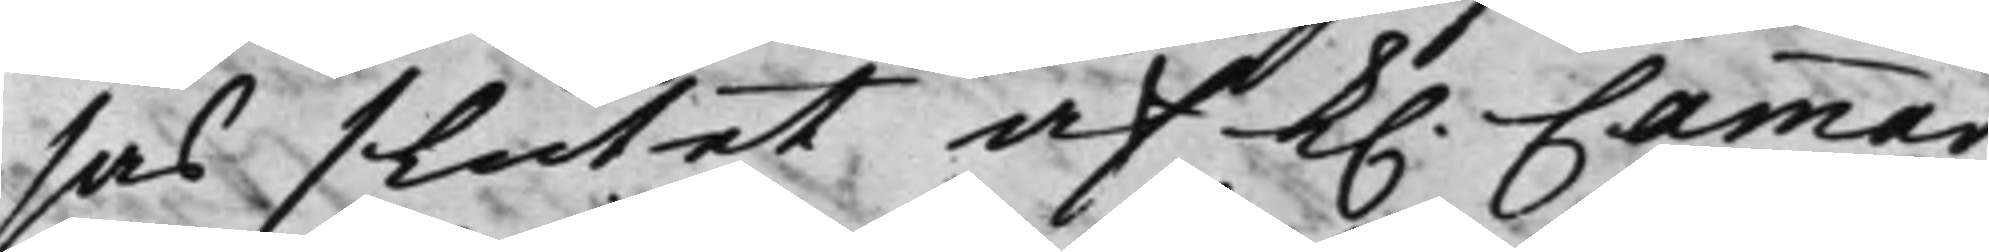sas slutet af K. Cammar¬
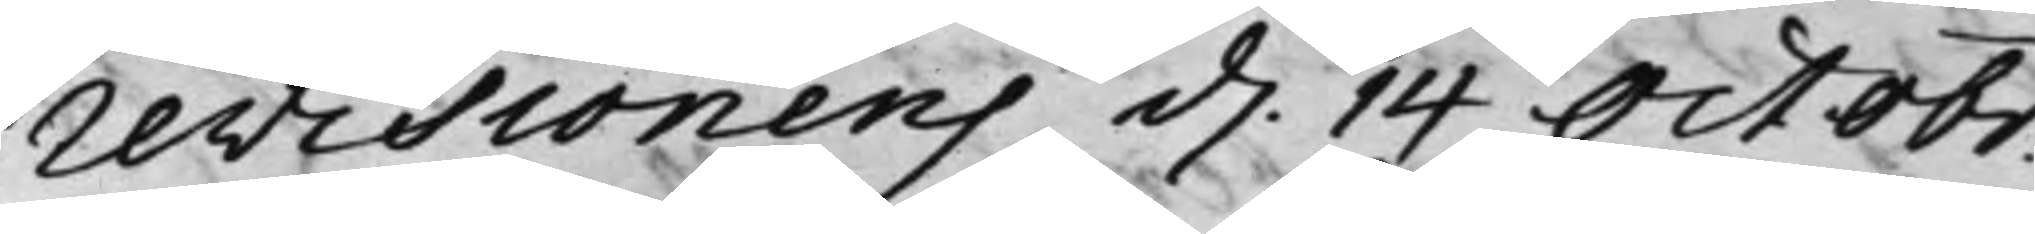revisionens d. 14 Octobr
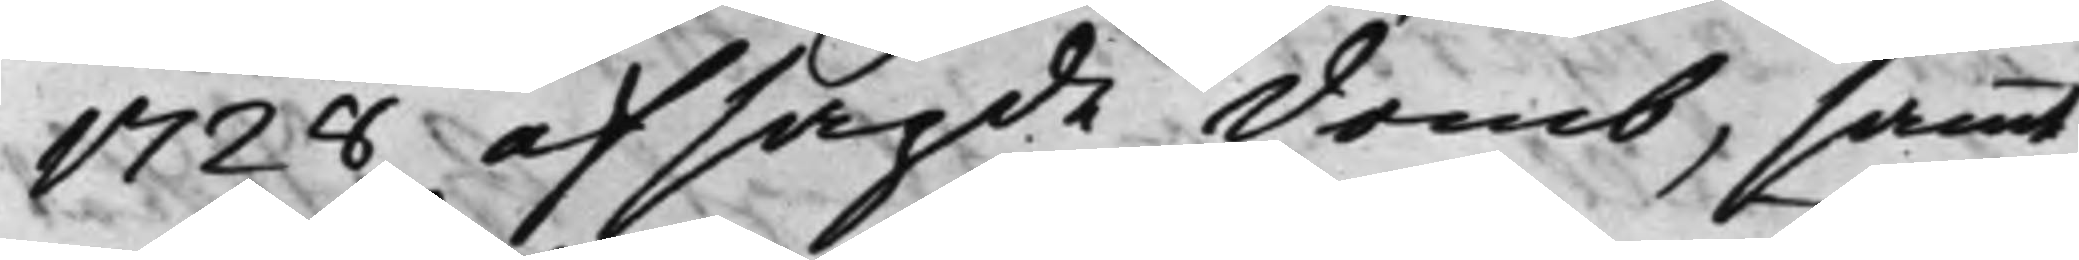1728 afsagde domb, samt
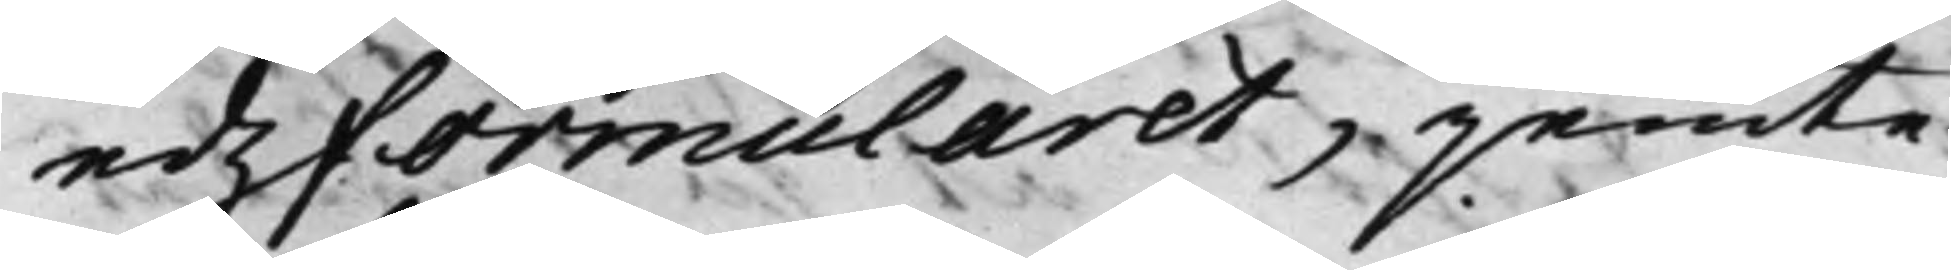edzformularet, jemte
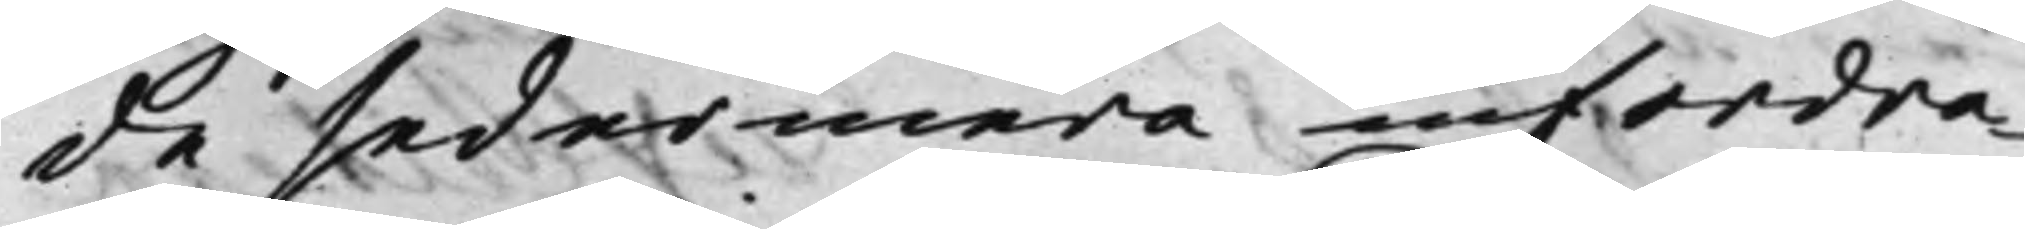de sedermera infordra¬
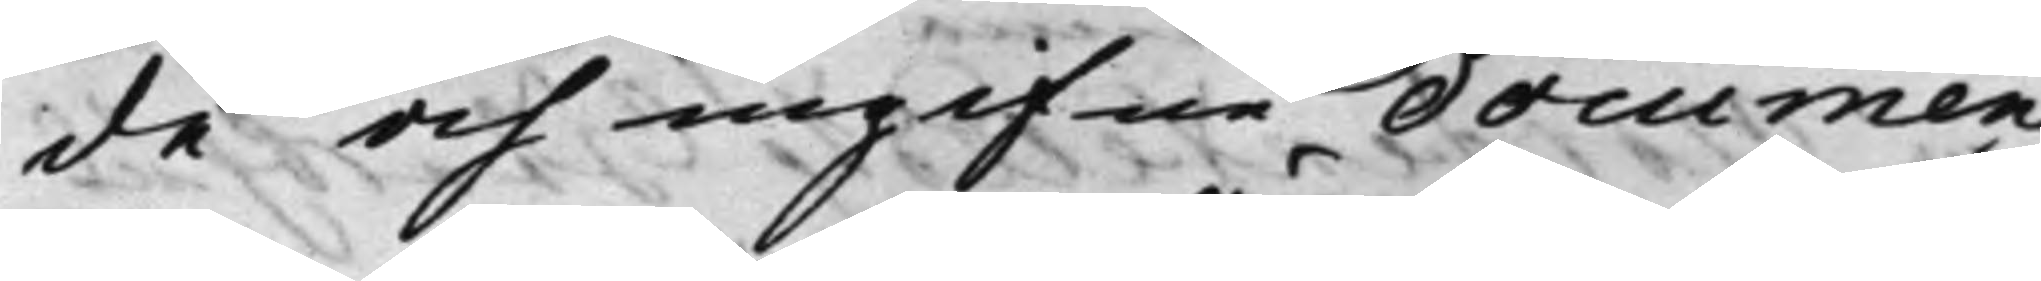de och ingifne documen¬
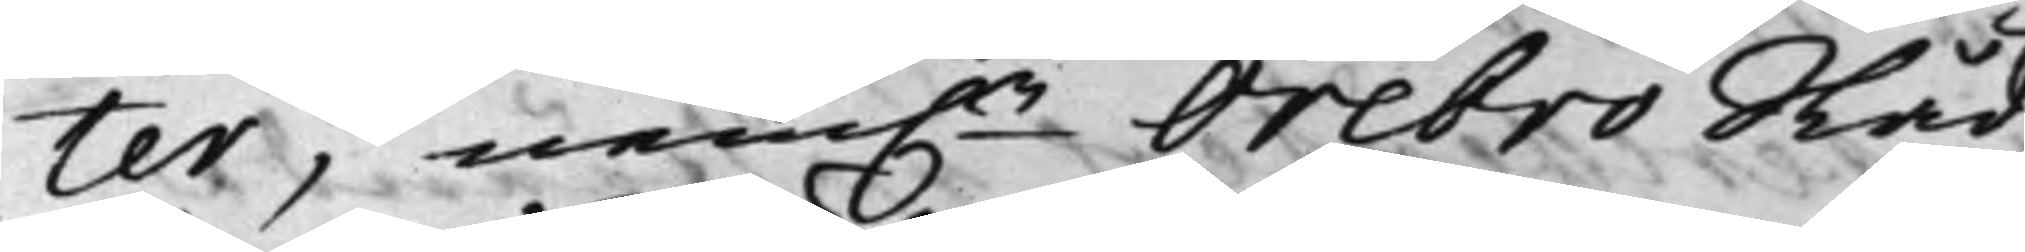ter, nem.n Örebro Råd¬
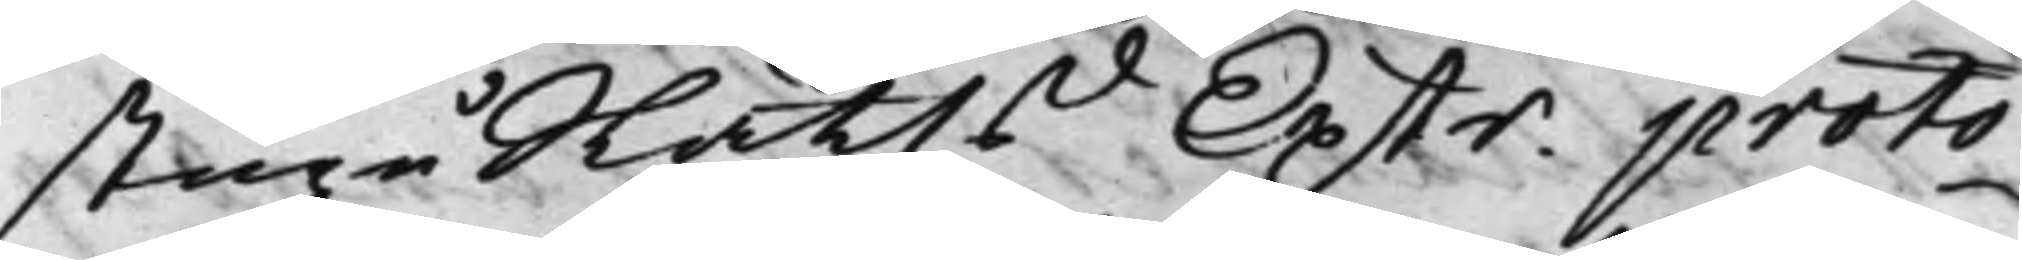stugu Rätts Extr. proto¬
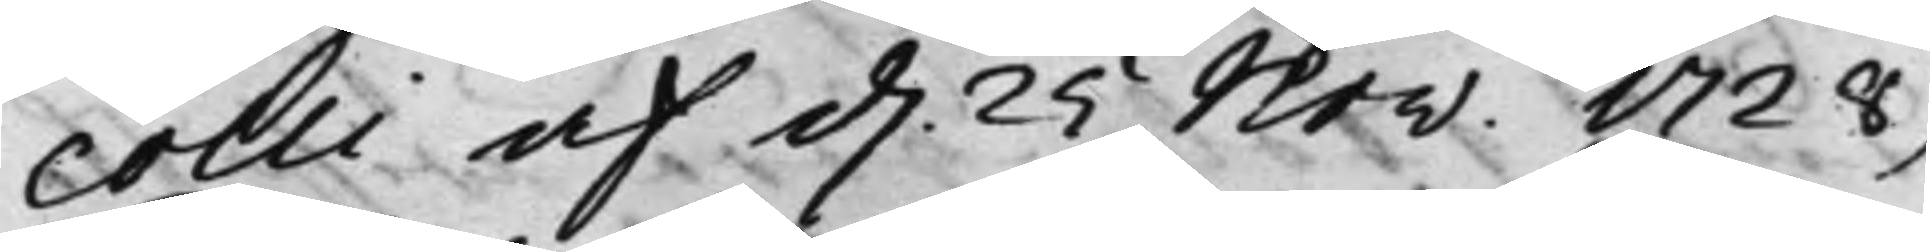colli af d. 25 Nov: 1728,
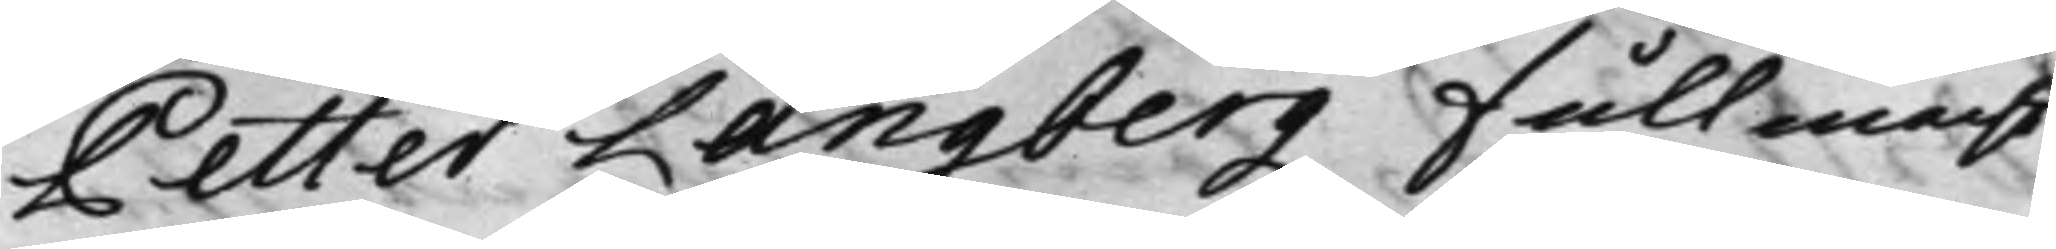Petter Langbergz Fullmacht
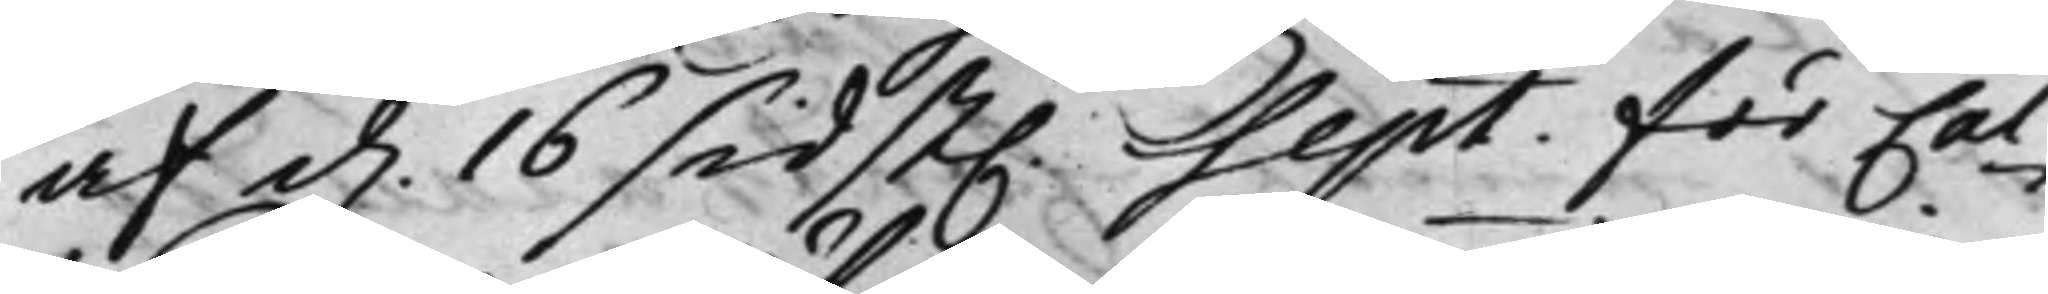af d. 16 sidst. Sept: för Cal¬
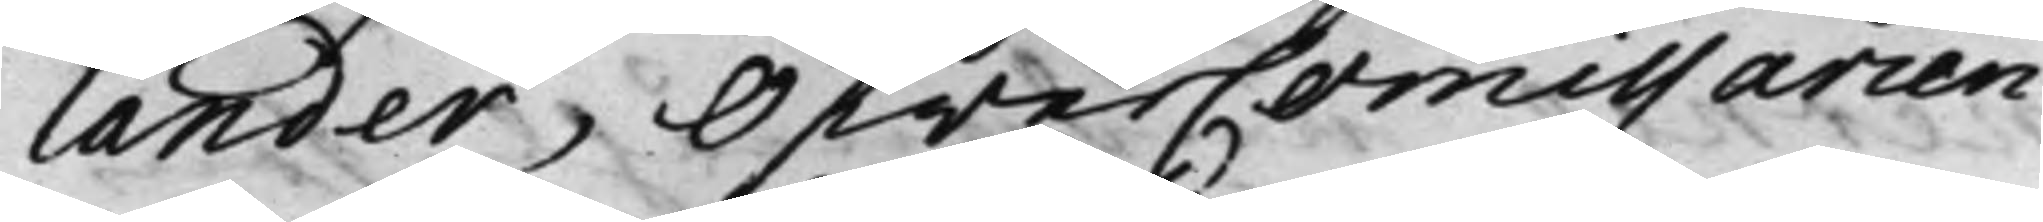lander, ÖfwerCommissarien
